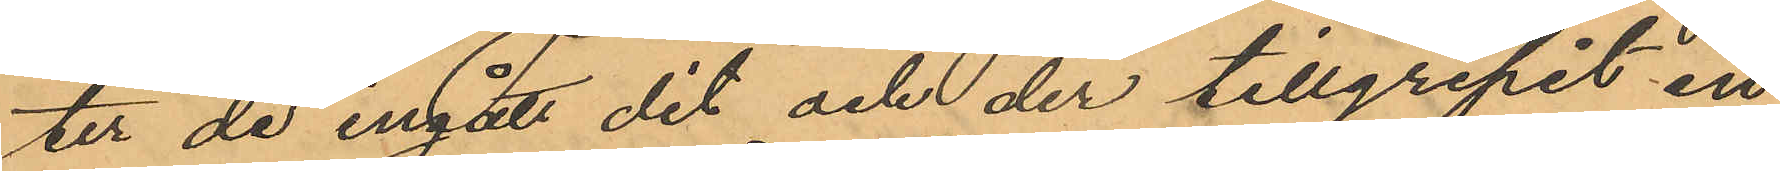ter de ingått dit och der tillgripit en
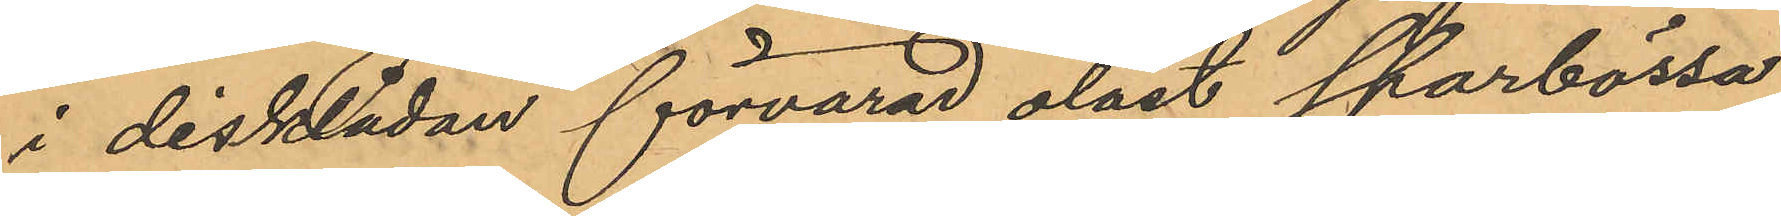i disklådan förvarad olåst sparbössa
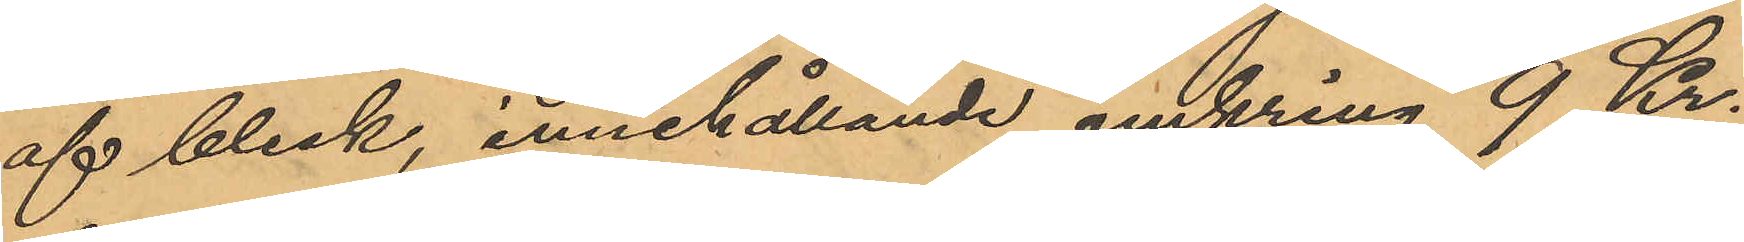af bleck, innehållande omkring 9 Kr.
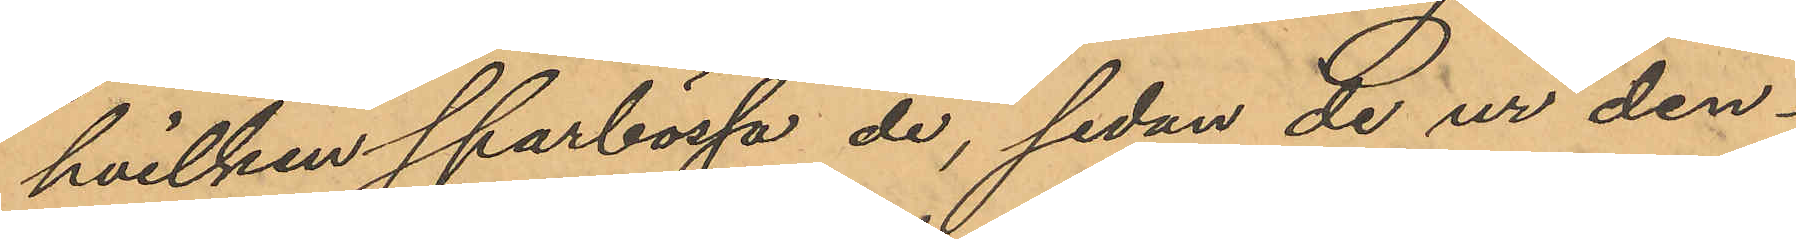hvilken sparbössa de, sedan de ur den¬
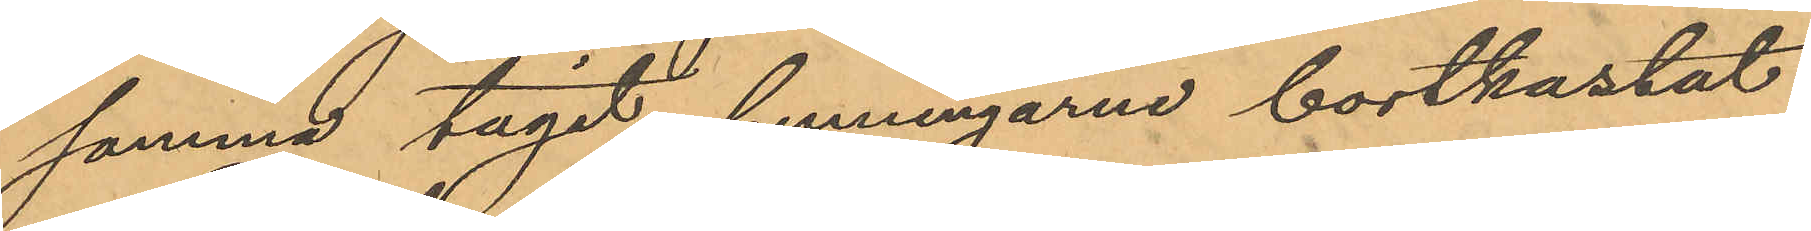samma tagit penningarne bortkastat
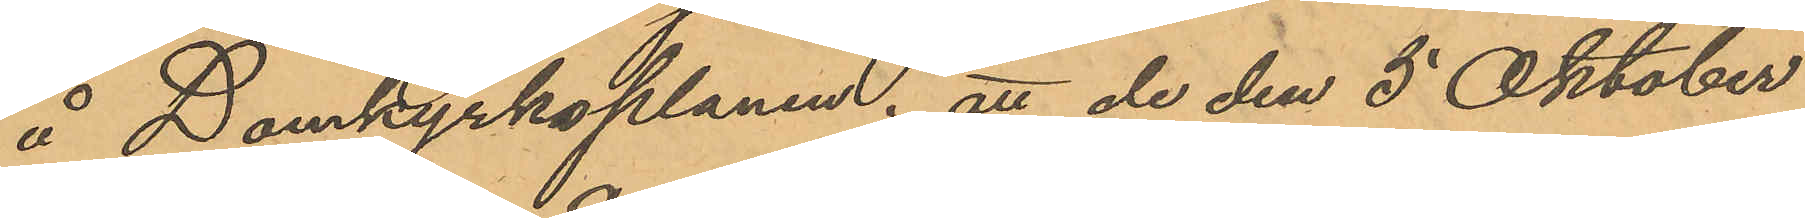å Domkyrkoplanen; att de den 5 Oktober
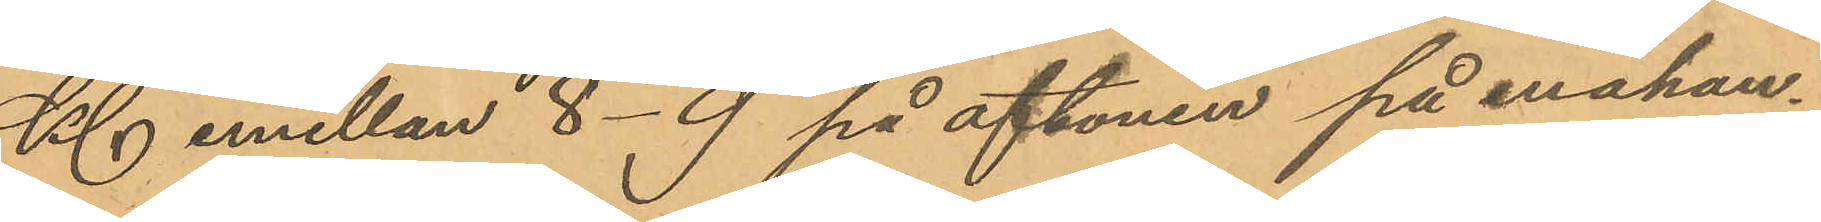Kl emellan 8-9 på aftonen på enahan¬
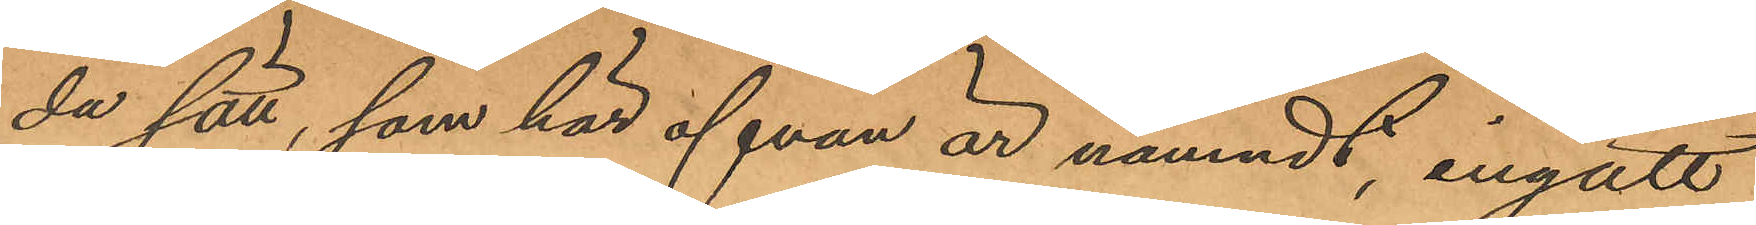da sätt, som här ofvan är nämndt, ingått
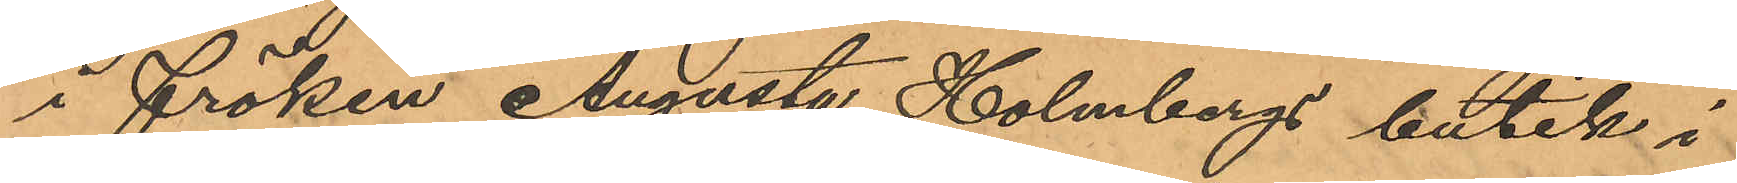i fröken Augusta Holmbergs butik i
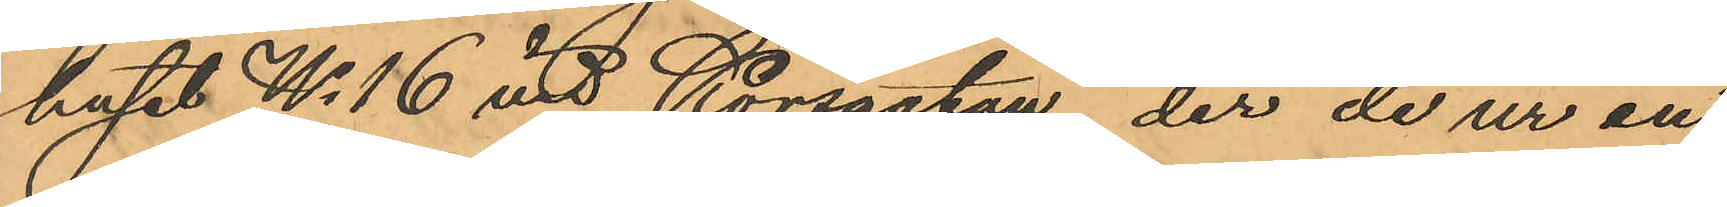huset No 16 vid Korsgatan, der de ur en
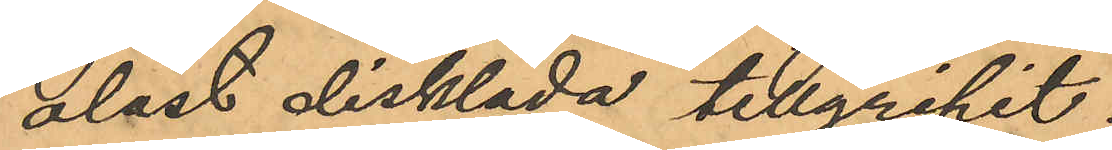olåst disklåda tillgripit.
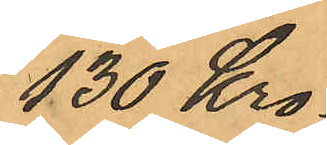130 Kro¬
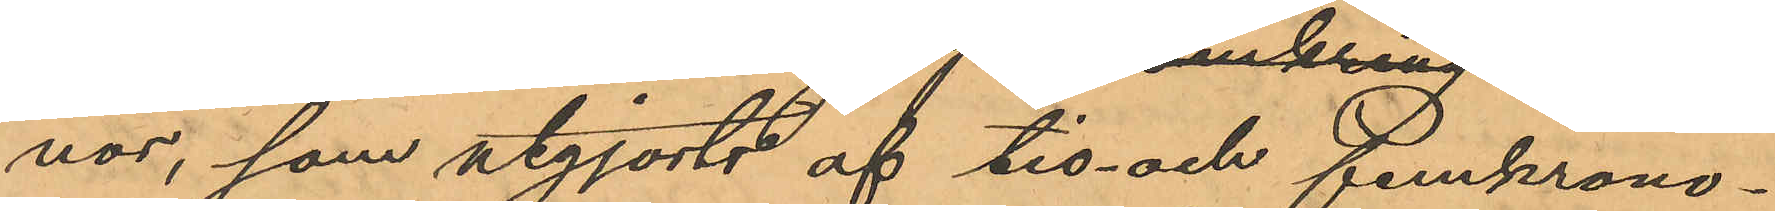nor, som utgjorts af tio och femkrono¬
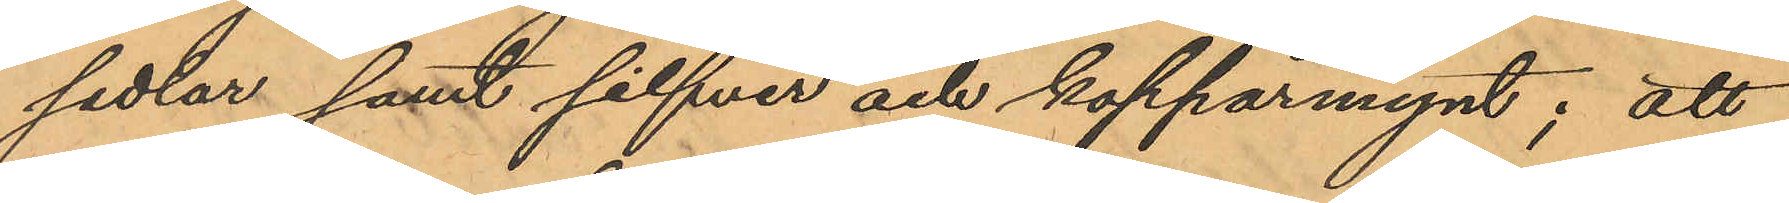sedlar samt silfver och kopparmynt; att
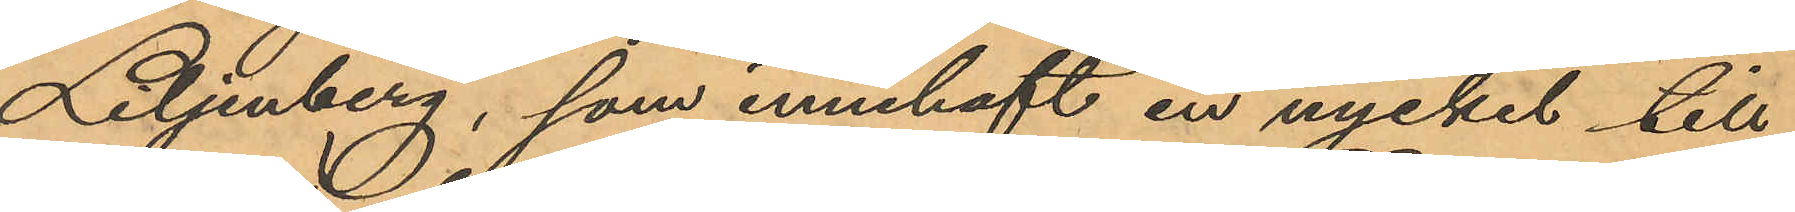Liljenberg, som innehaft en nyckel till
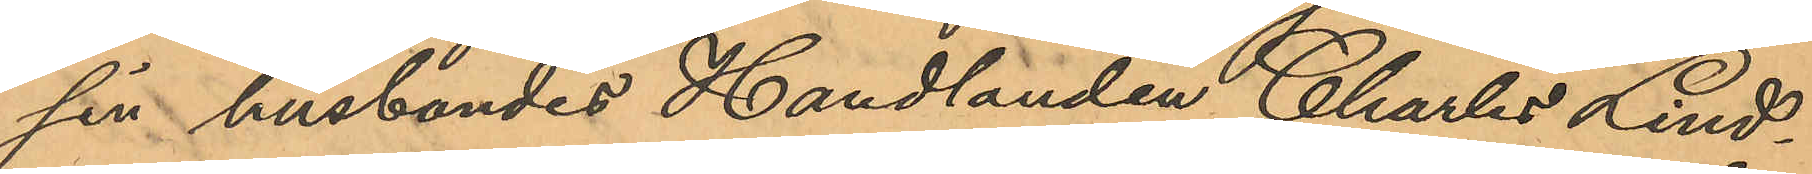sin husbondes Handlanden Charles Lind¬
